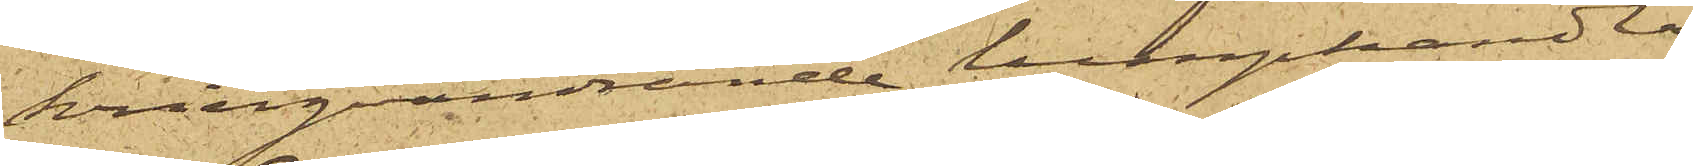kringvandrande lumphandla¬
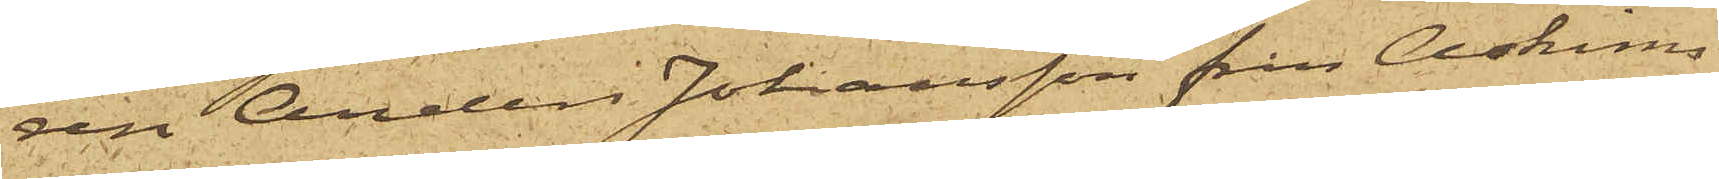ren Anders Johansson från Askims
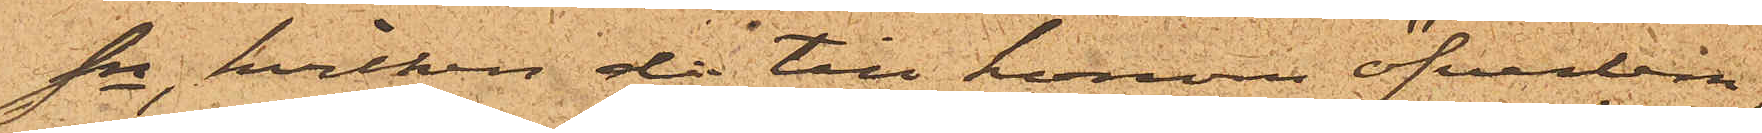sn, hvilken då till honom öfverlem¬
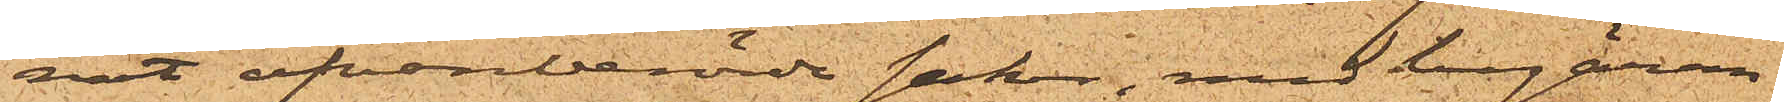nat ofvanberörde saker, med begäran
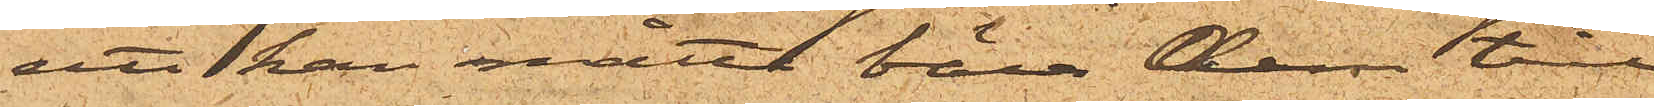att han måtte bära dem till
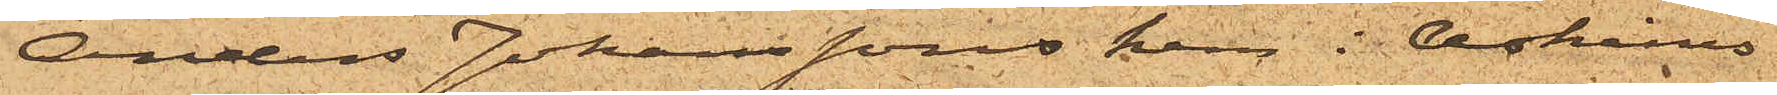Anders Johanssons hus i Askims
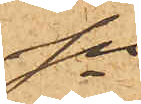sn.
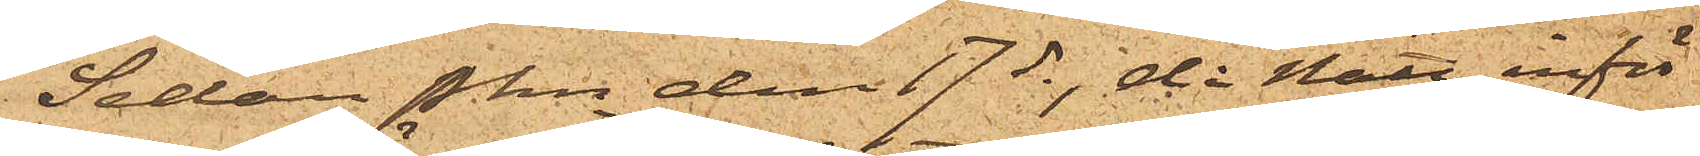Sedan Pkn den 17 ds , då Nätt inför
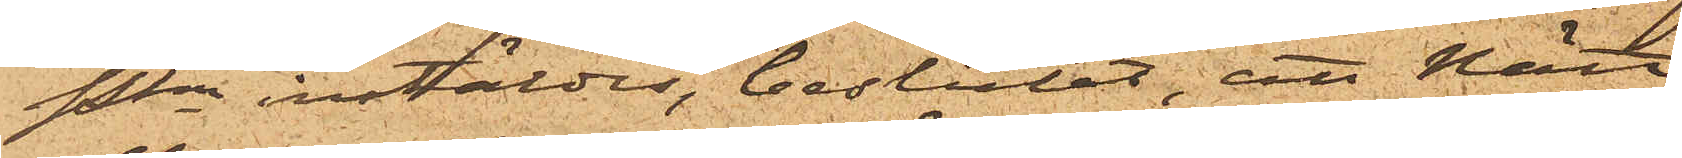Pkn instäldes, beslutat, att Nätt
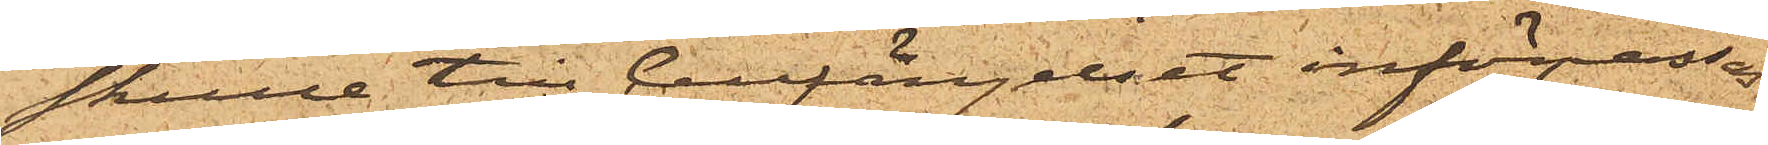skulle till Cellfängelset införpassas
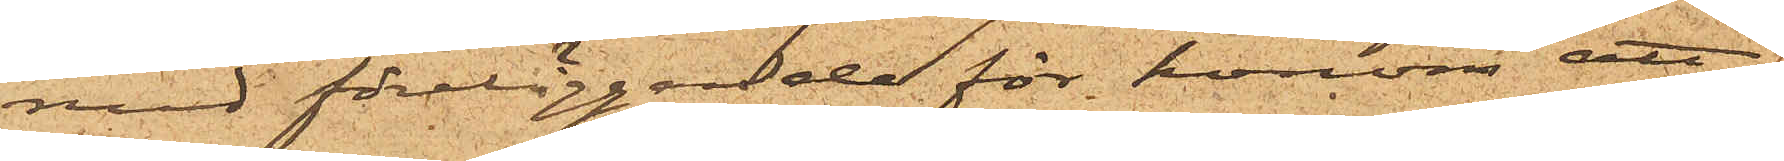med föreläggande för honom att
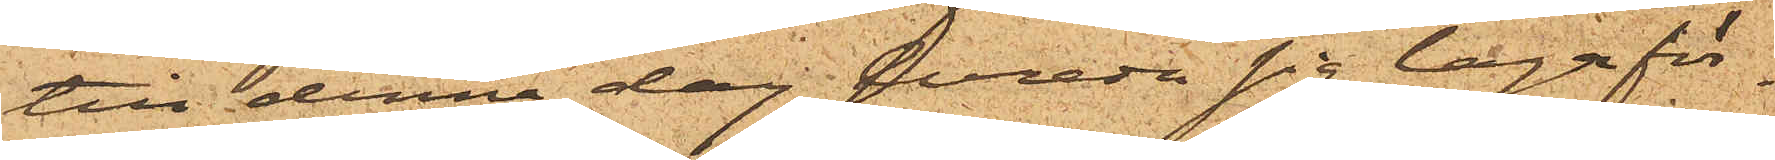till denna dag bereda sig laga för¬
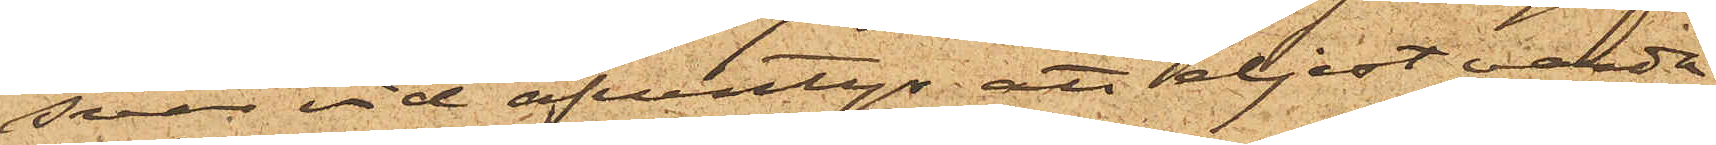svar vid äfventyr; att eljest varda
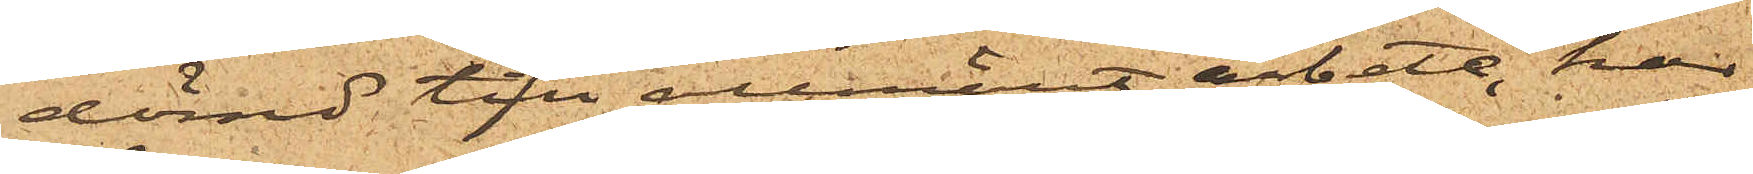dömd till allmänt arbete, har
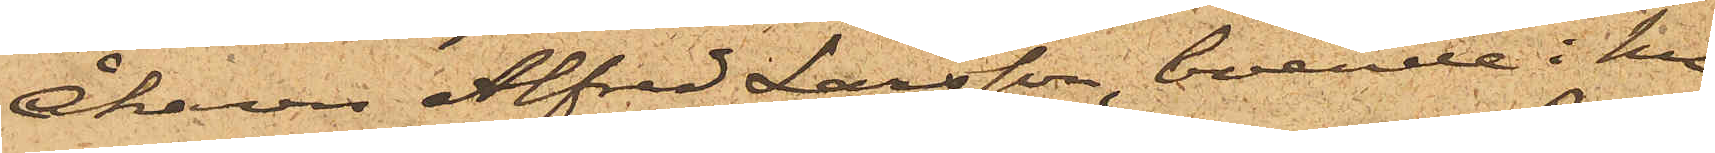Åkaren Alfred Larsson, boende i hu¬
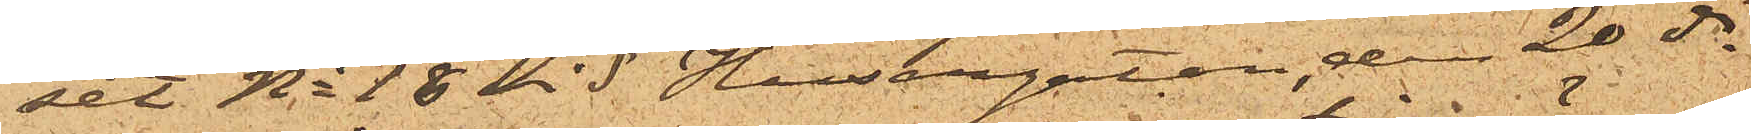set No 18 vid Husargatan, den 20 ds
